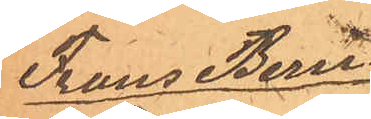Frans Bern¬
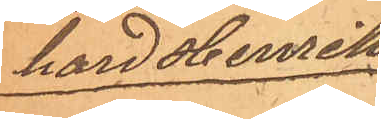hard Henriks¬
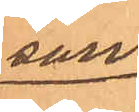son.
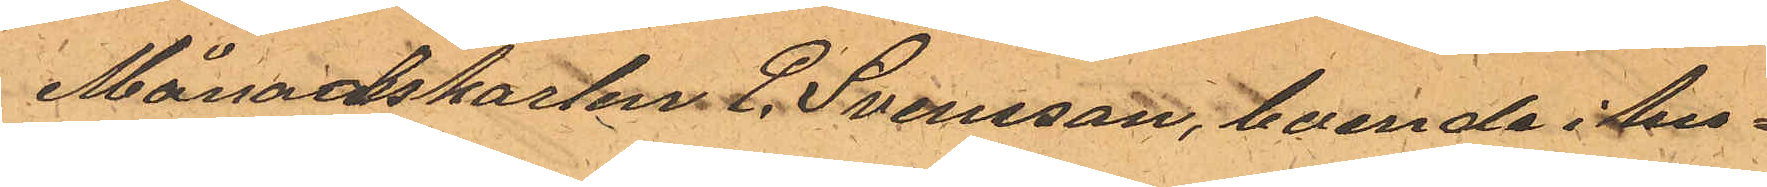Månadskarlen P. Svensson, boende i hu¬
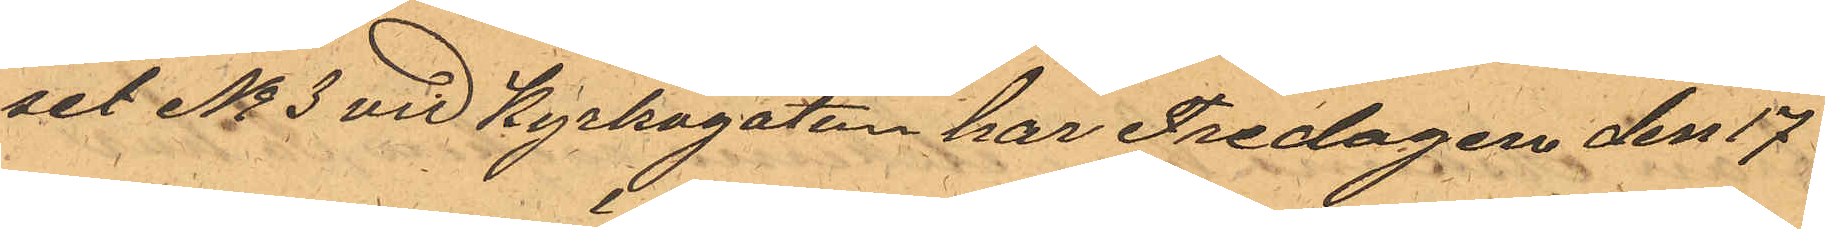set No 3 vid Kyrkogatan har Fredagen den 17
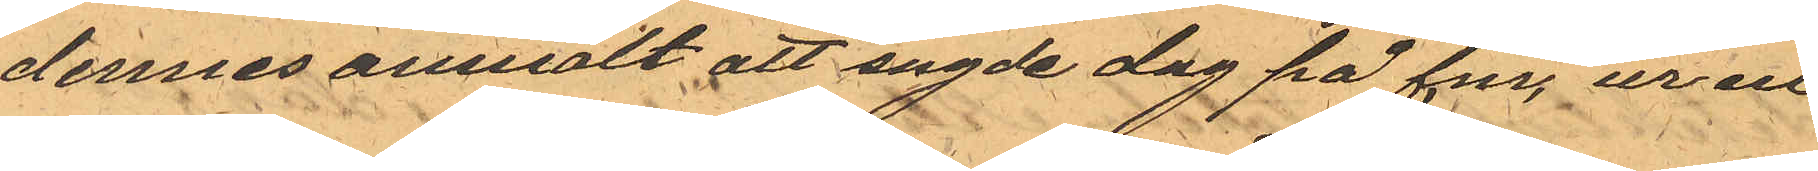dennes anmält att sagde dag på f.m. ur en
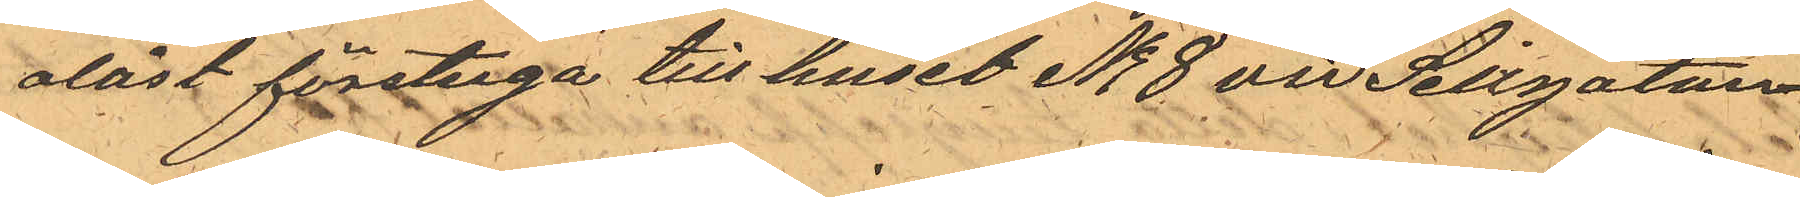olåst förstuga till huset No 8 vid Sillgatan
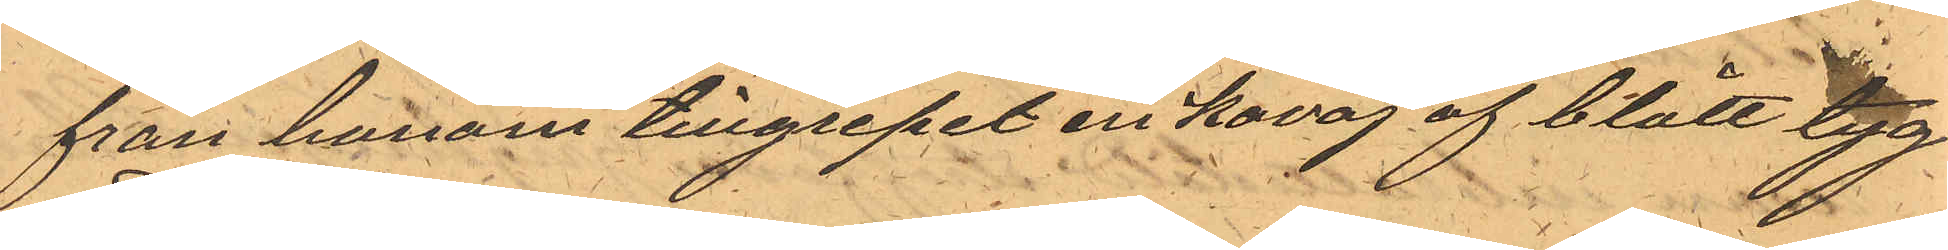från honom tillgripit en kavaj af blått tyg
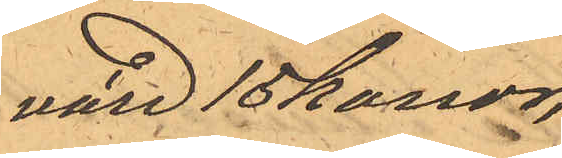värd 15 konor.
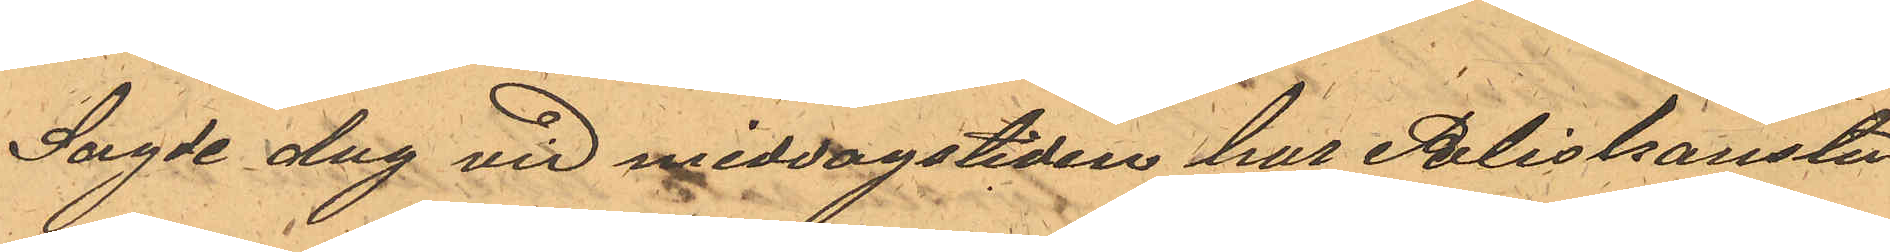Sagde dag vid middagstiden har Poliskonsta¬
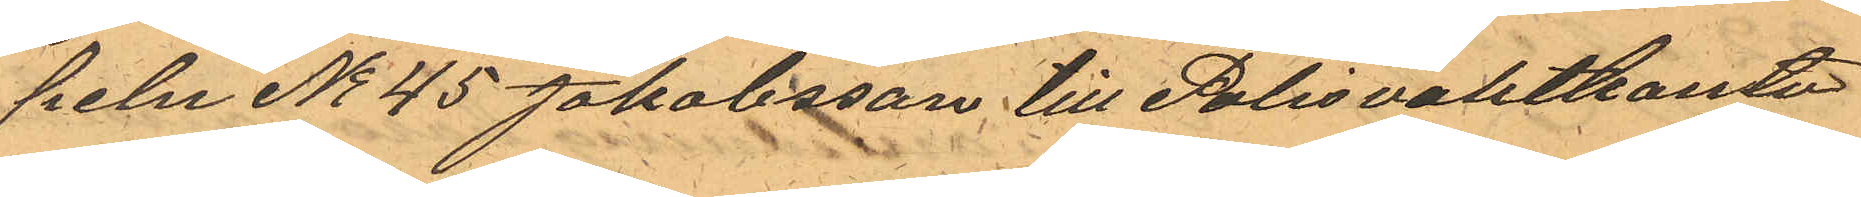peln No 45 Jakobsson till Polisvaktkonto¬
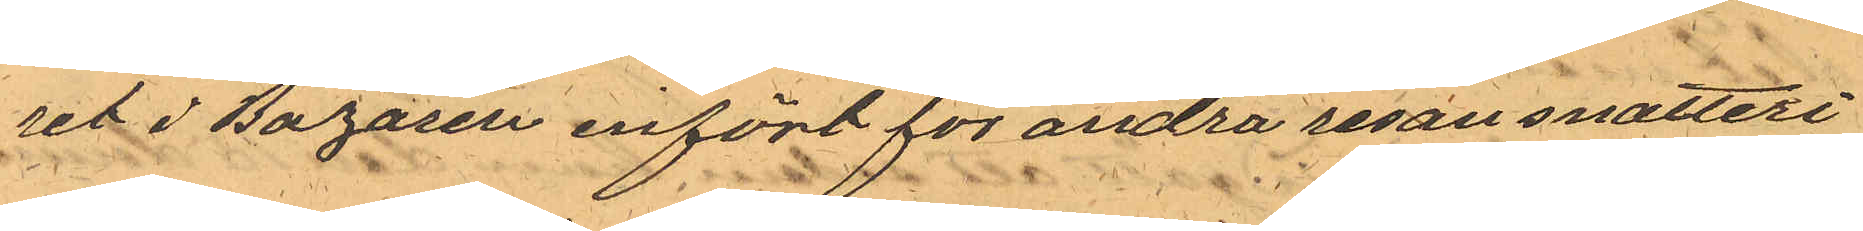ret i Bazaren infört för andra resan snatteri
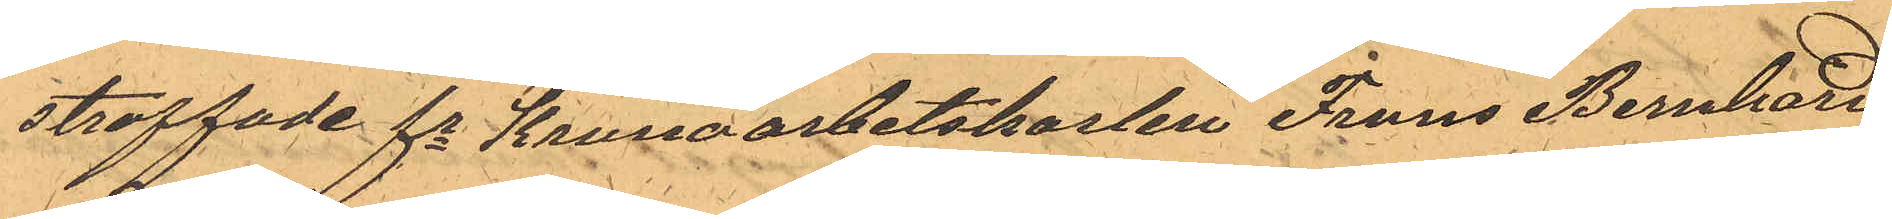straffade fe Kronoarbetskarlen Frans Bernhard
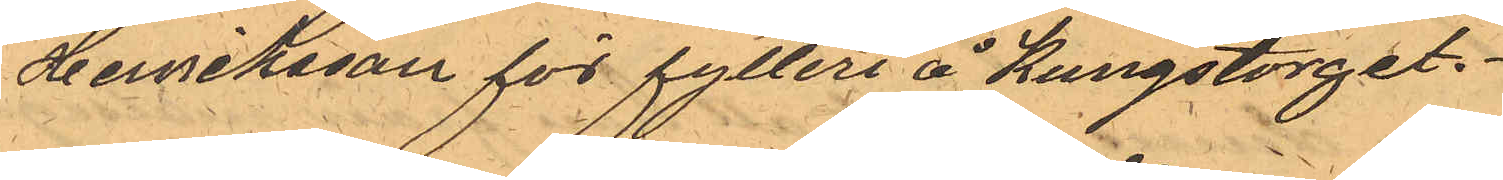Herriksson för fylleri å Kungstorget.
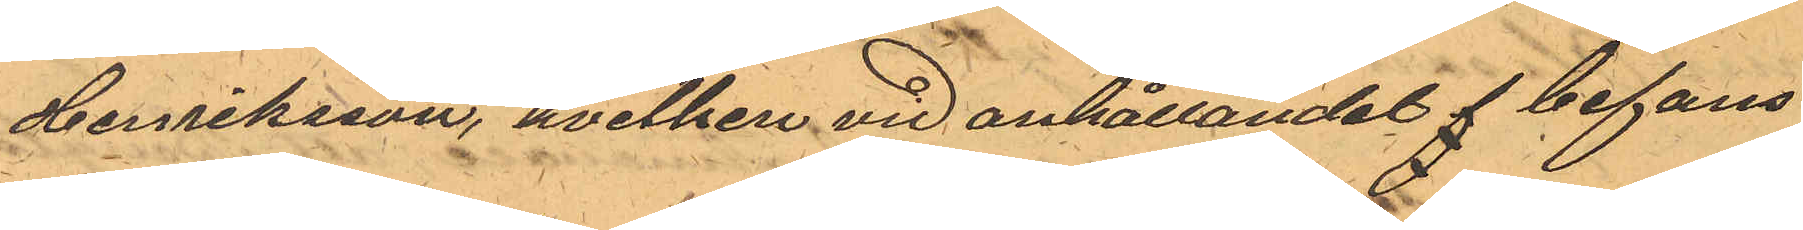Henriksson, hvilken vid anhållandet f befans
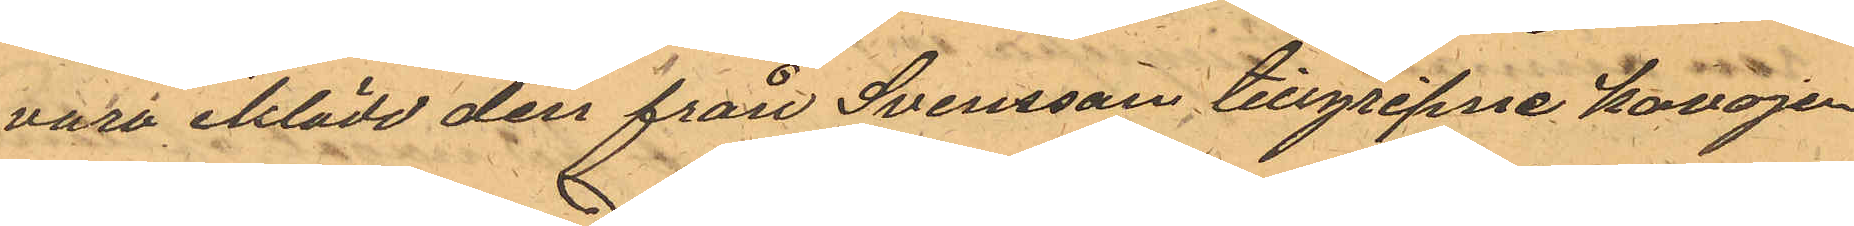vara aklädd den från Svensson tillgripne kavajen
